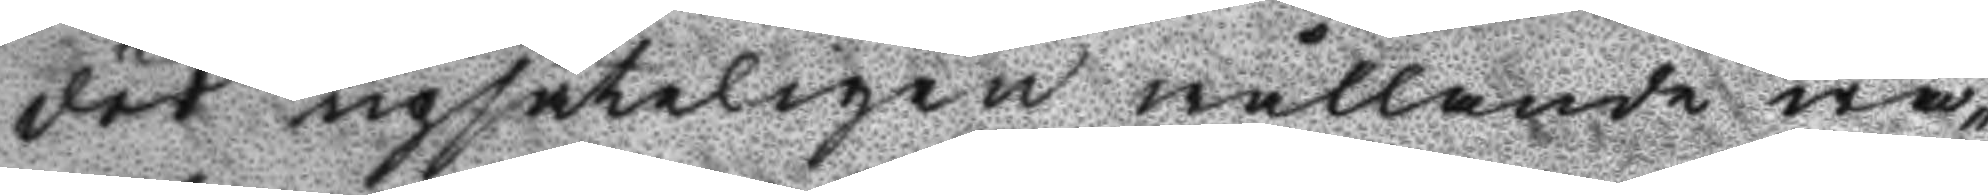död upsåteligen wållande wa¬
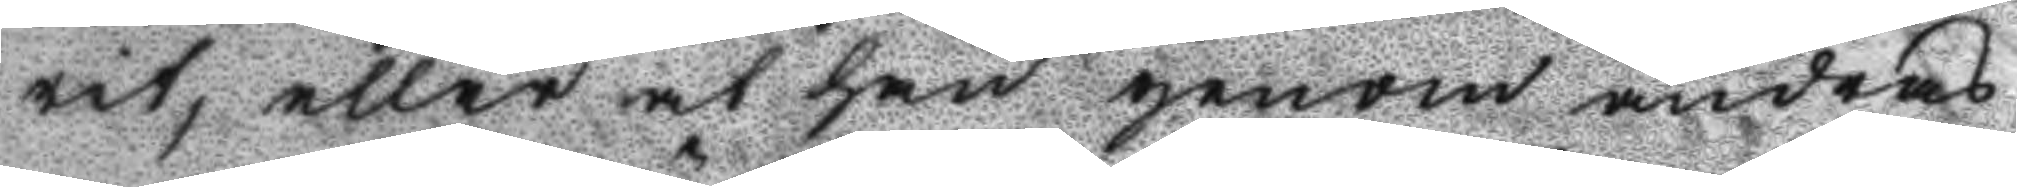rit, eller at han genom andras
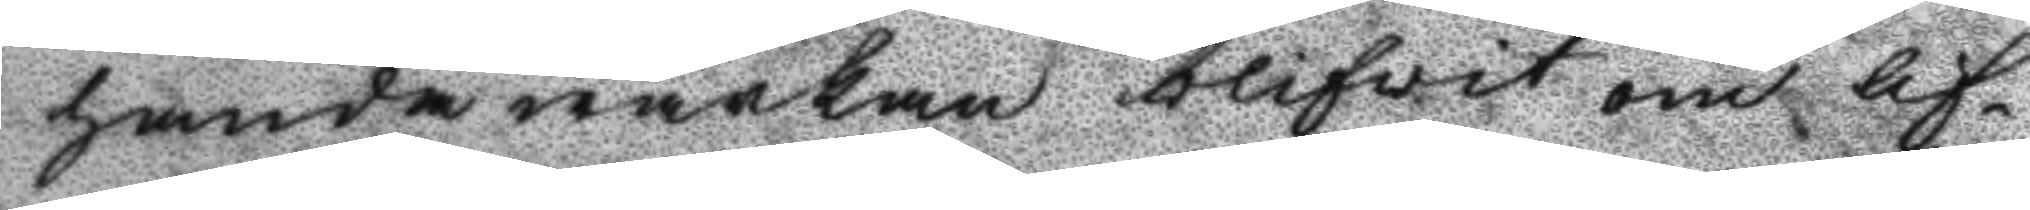handawärkan blifvit om lif¬
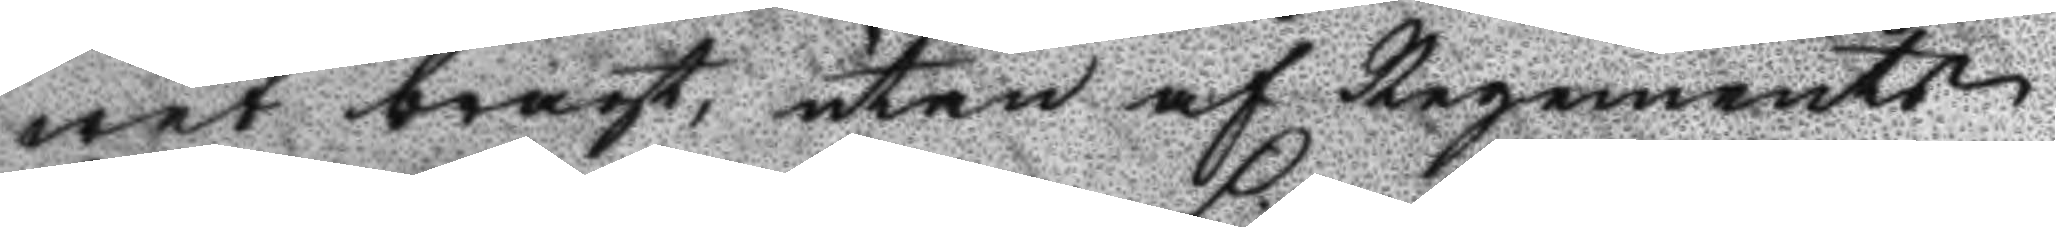wet bragt, utan af Regements
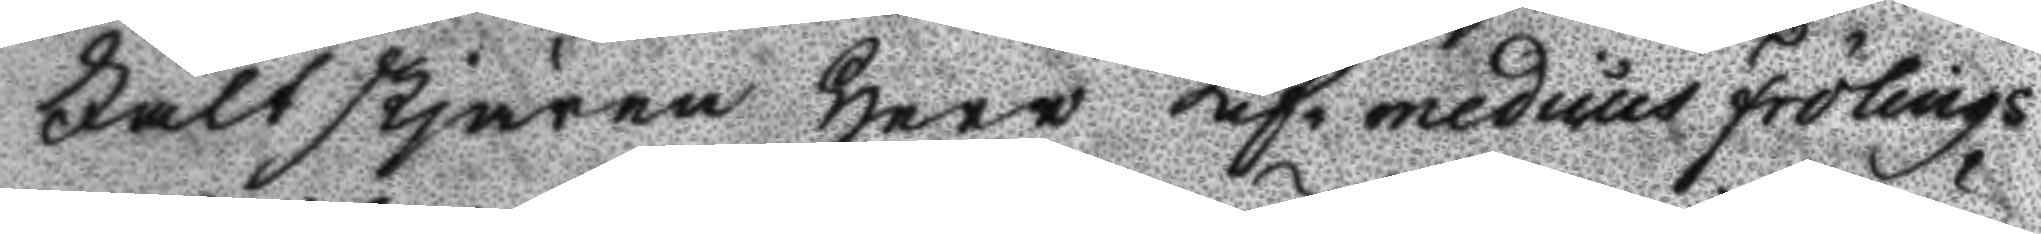Fältskjären Herr Lifmedicus Frölings
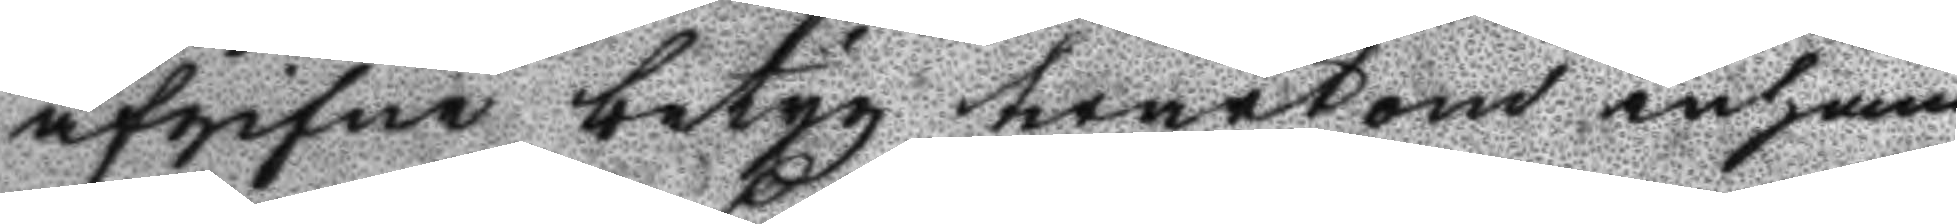afgifnw betyg twärtom inhäm¬
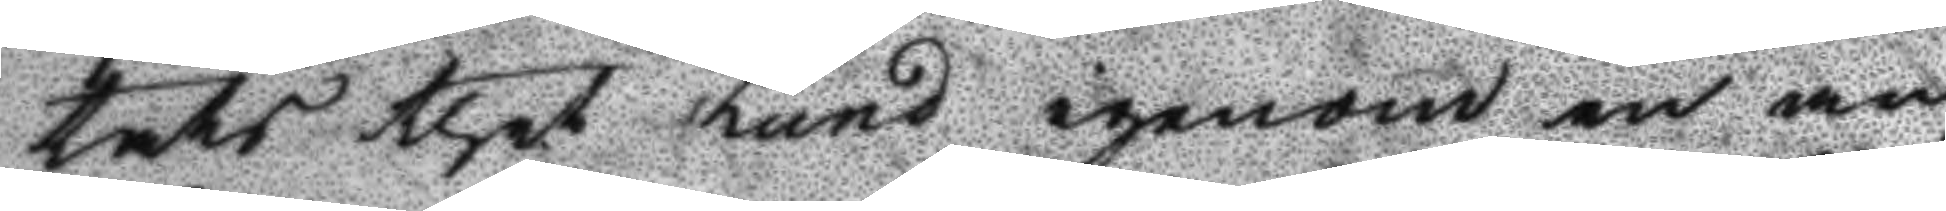tats thet Lund igenom en an¬
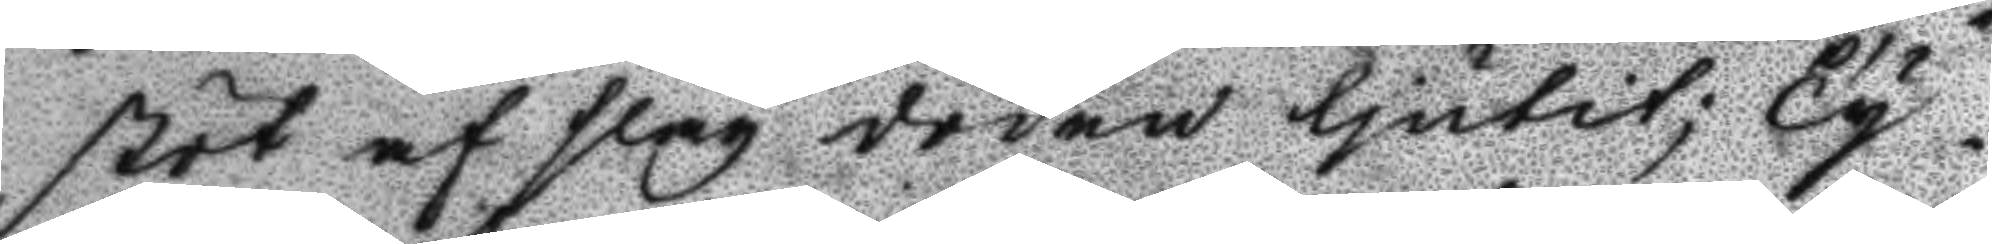stöt af slag döden ljutit; Ty
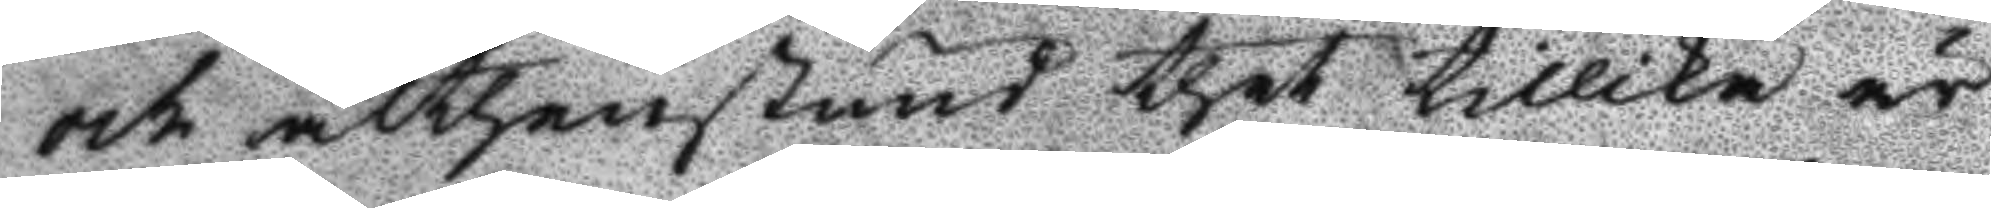och althenstund thet tillika är
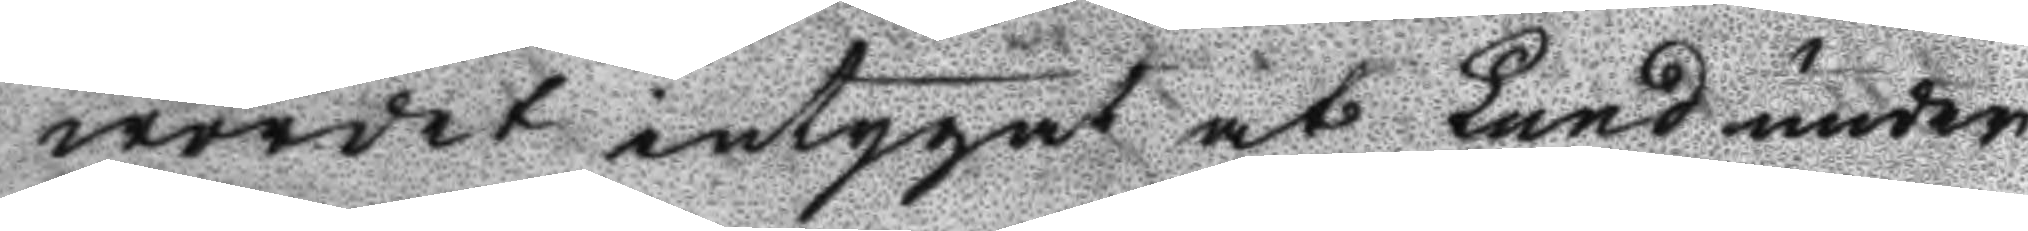wordet intygat at Lund under
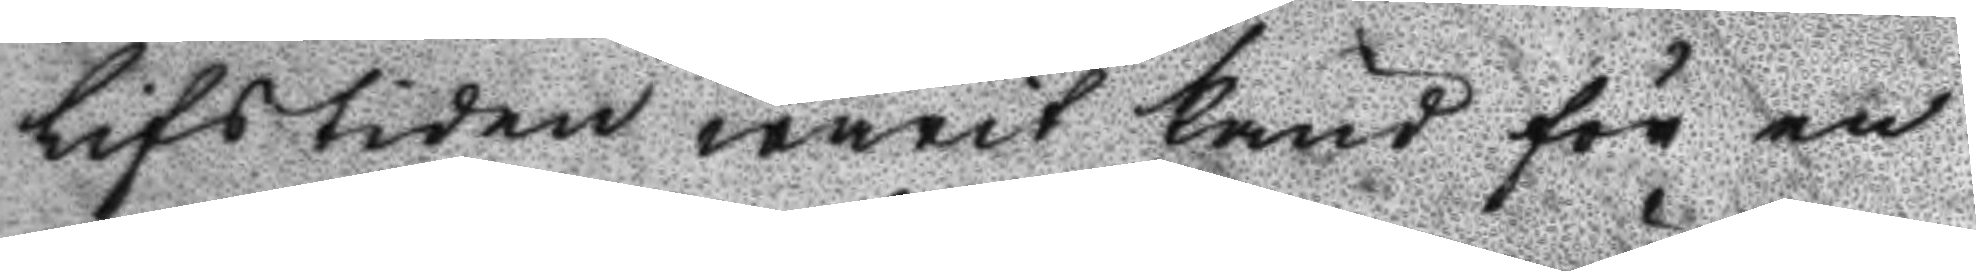Lifstiden warit känd för en
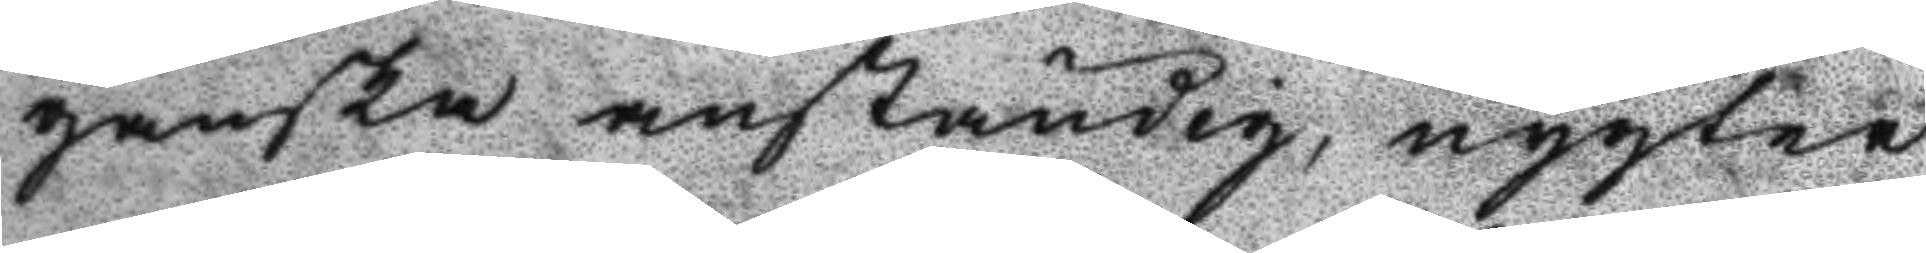ganska anständig, nygter
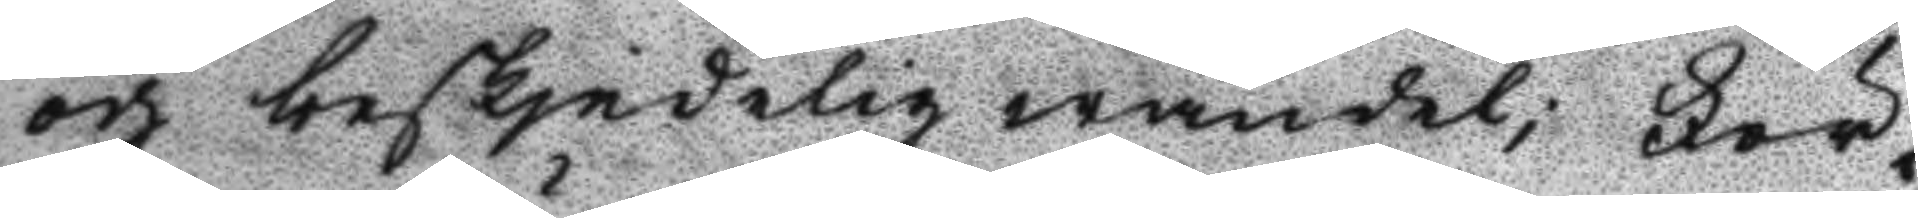och beskjedelig wandel; För¬
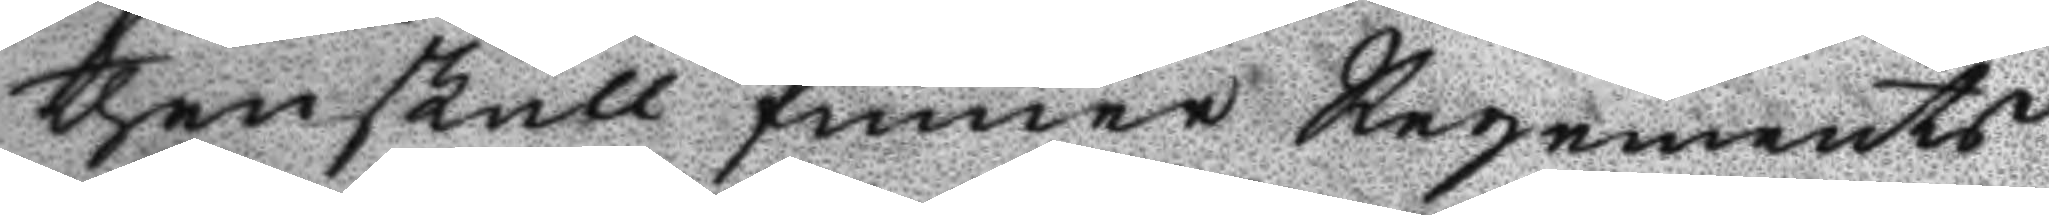thenskull finner Regements
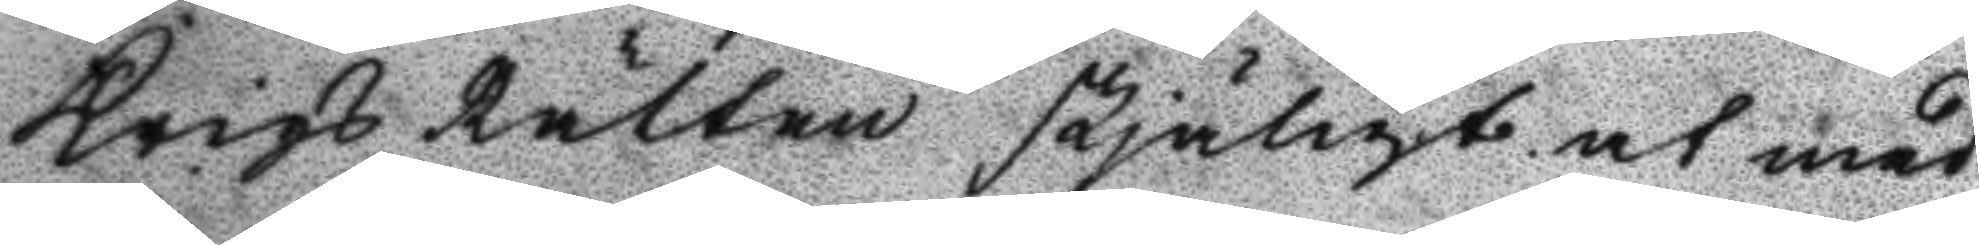Krigs Rätten skjäligt at med
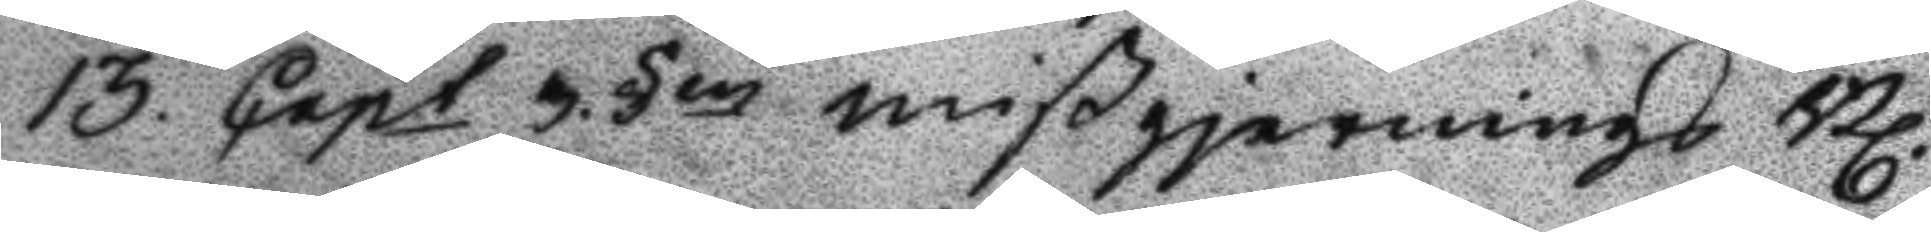13. Capt 3 §en mißgjernings Bl.
